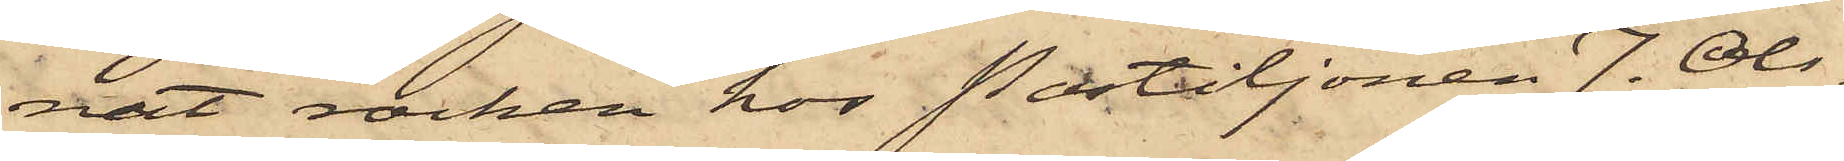nat rocken hos Postiljonen J. Ols¬
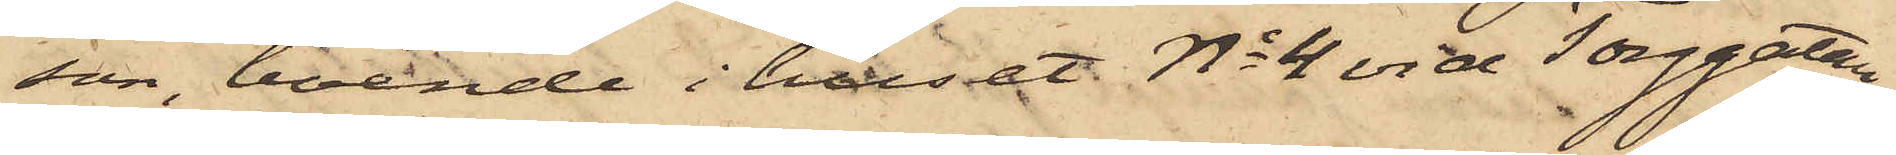son, boende i huset No 4 vid Torggatan,
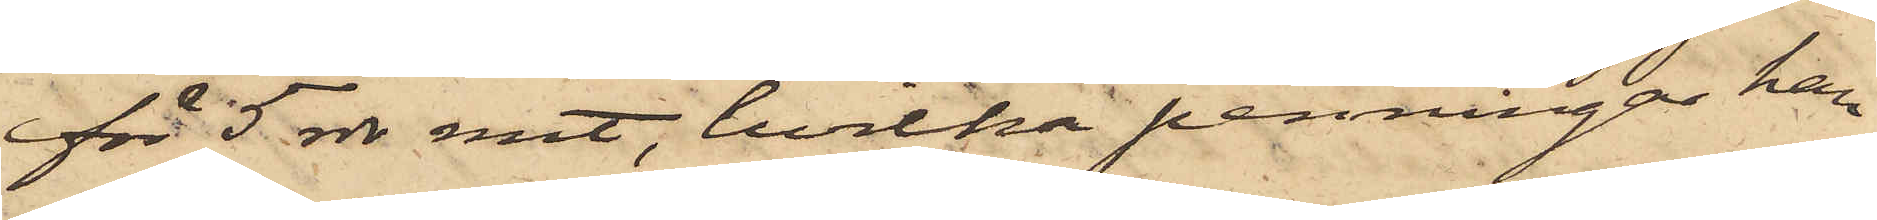för 5 rdr rmt, hvilka penningar han
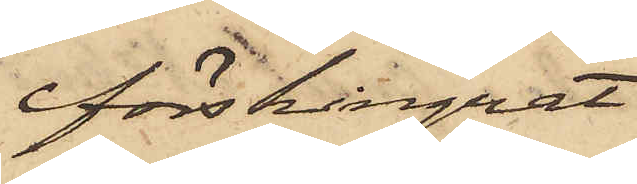förskingrat.
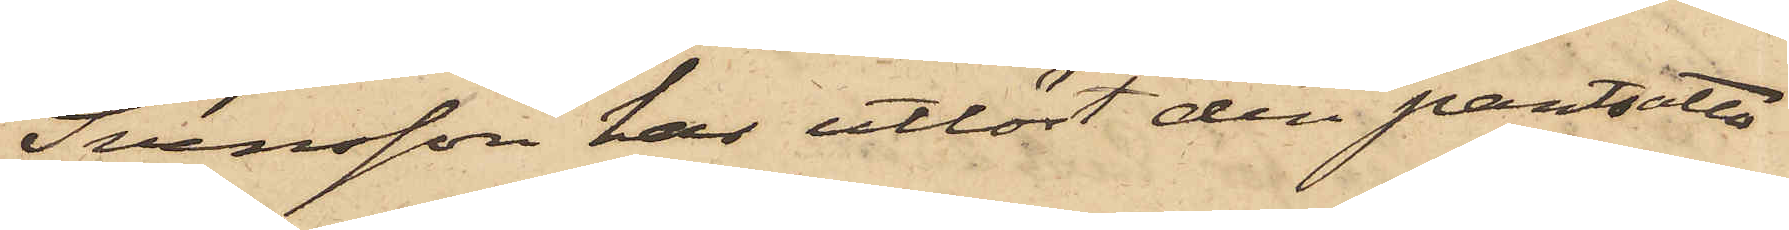Svensson har utlöst den pantsatta
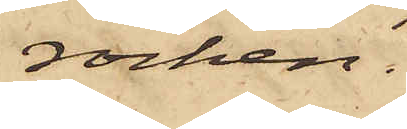rocken.
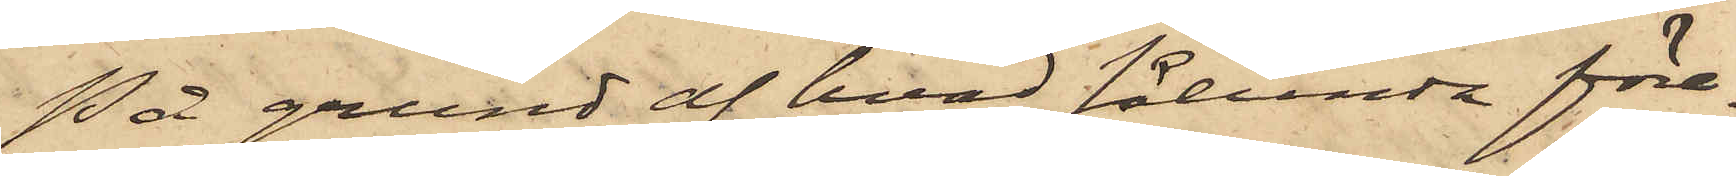På grund af hvad sålunda före¬
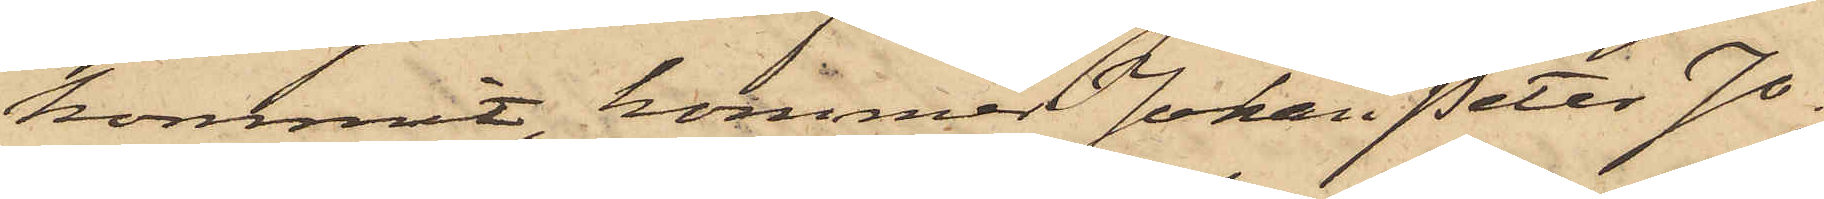kommit, kommer Johan Peter Jo¬
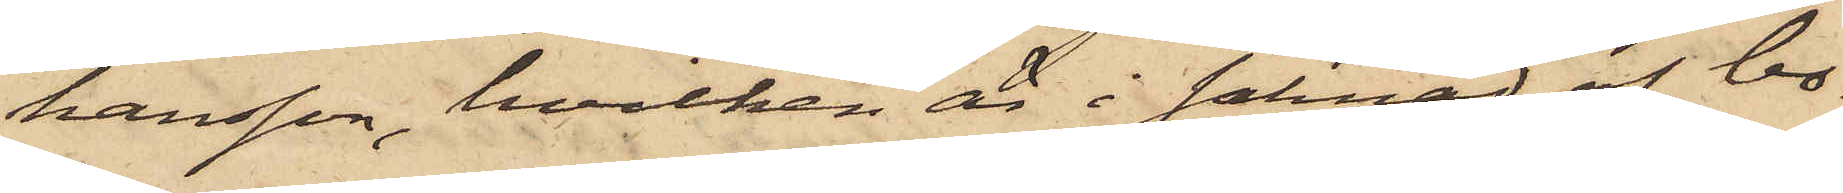hansson, hvilken är i saknad af bo¬
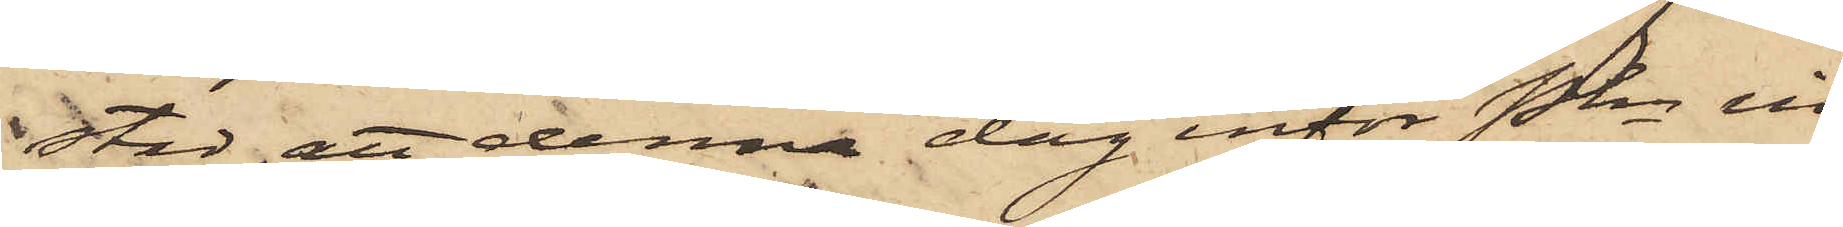stad att denna dag inför Pkn in¬
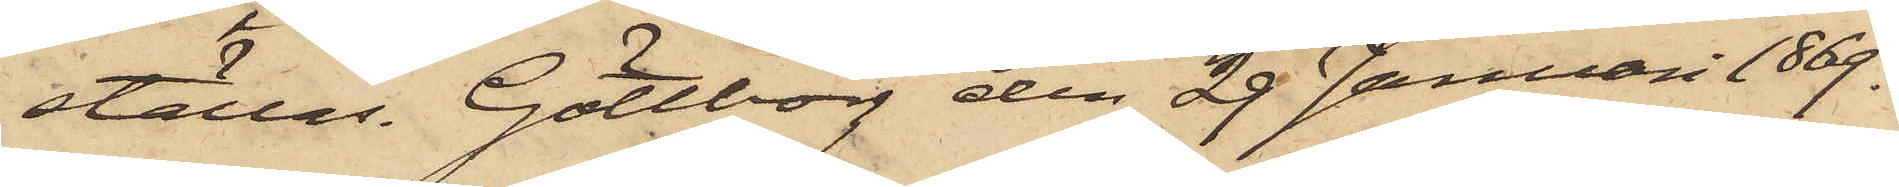ställas. Göteborg den 29 Januari 1869.
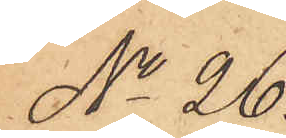No 26.
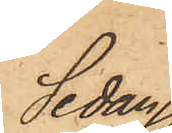Sedan
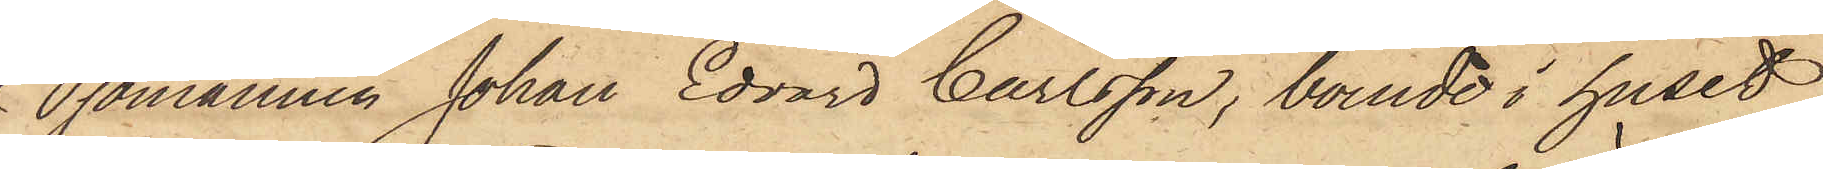Sjömannen Johan Edvard Carlsson, boende i huset
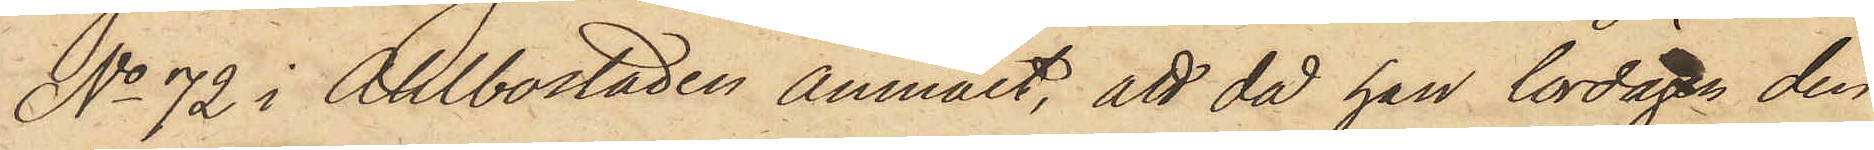No 72 i Ahlbostaden anmält, att då han lördagen den
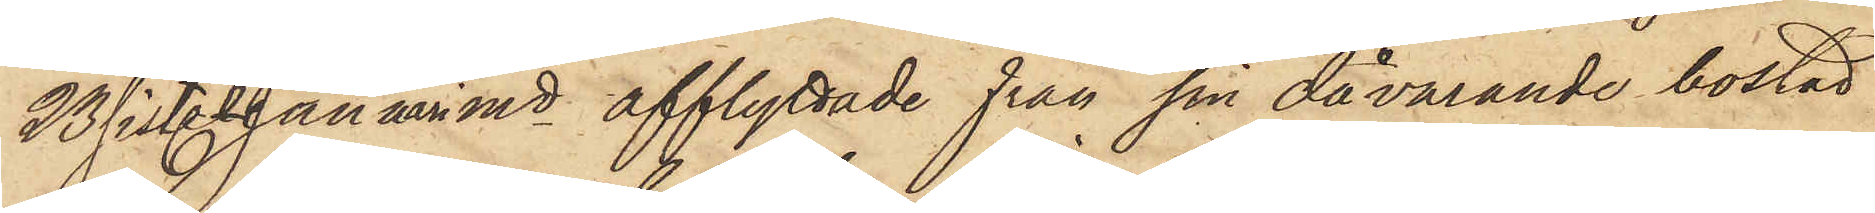23 sist. Januari månad afflyttade från sin dåvarande bostad
